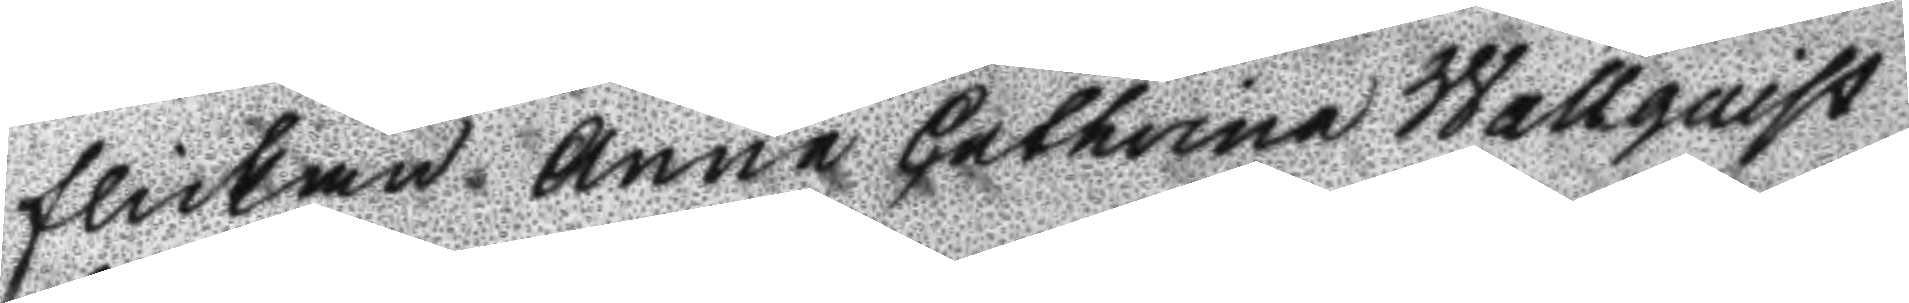flickan Anna Catharina Wallquist
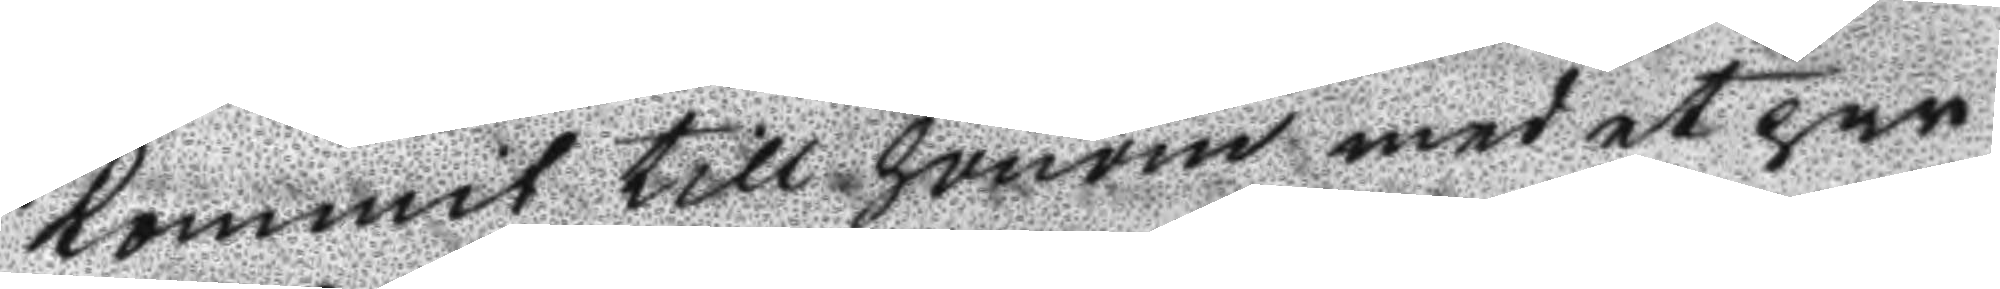kommit till honom med et par
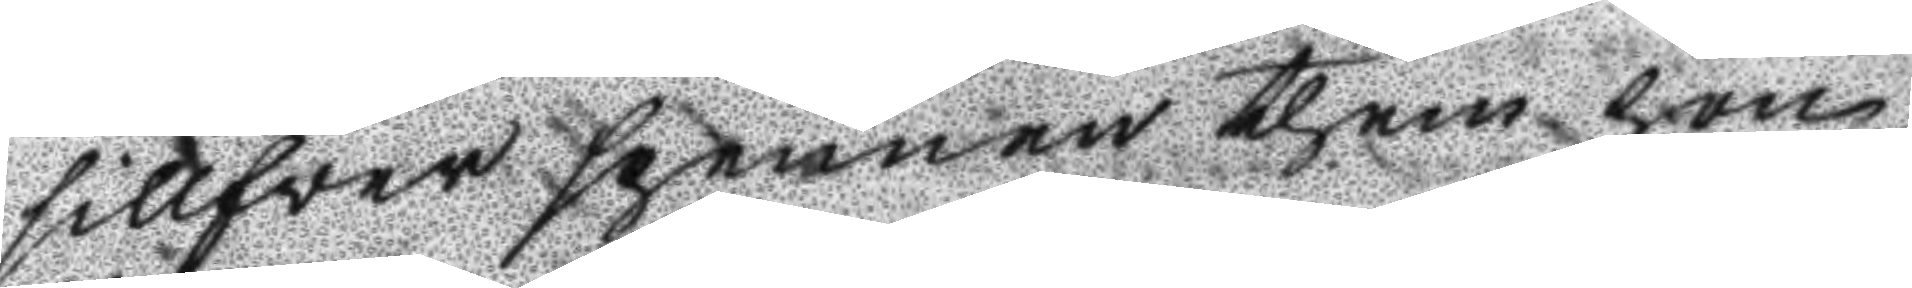sillfver spennen them han
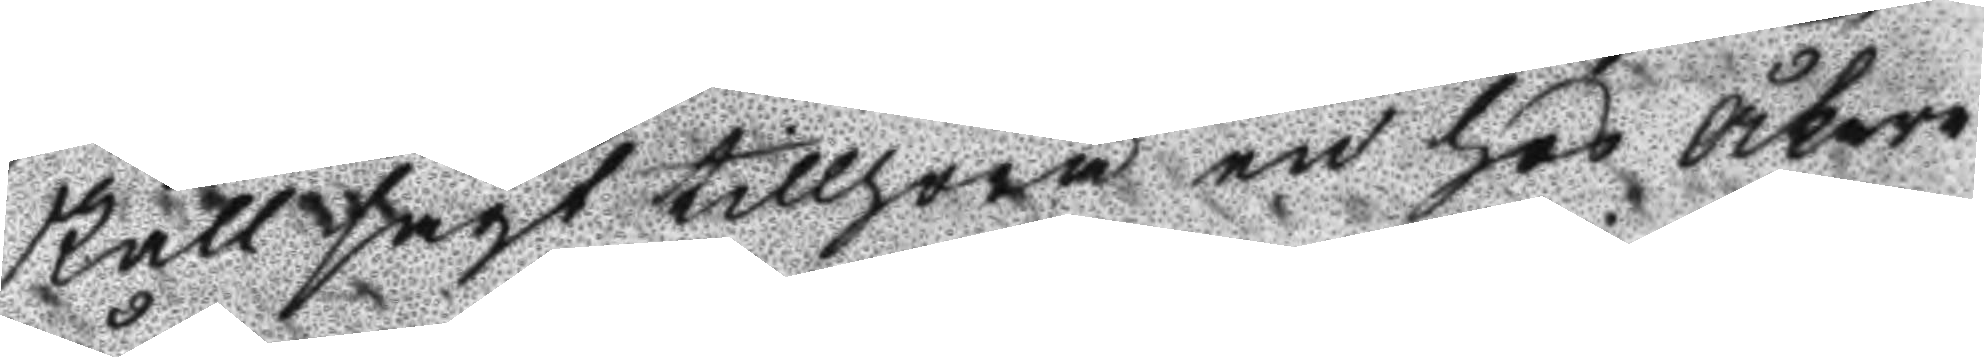skall sagt tillhöra en hos Åkare
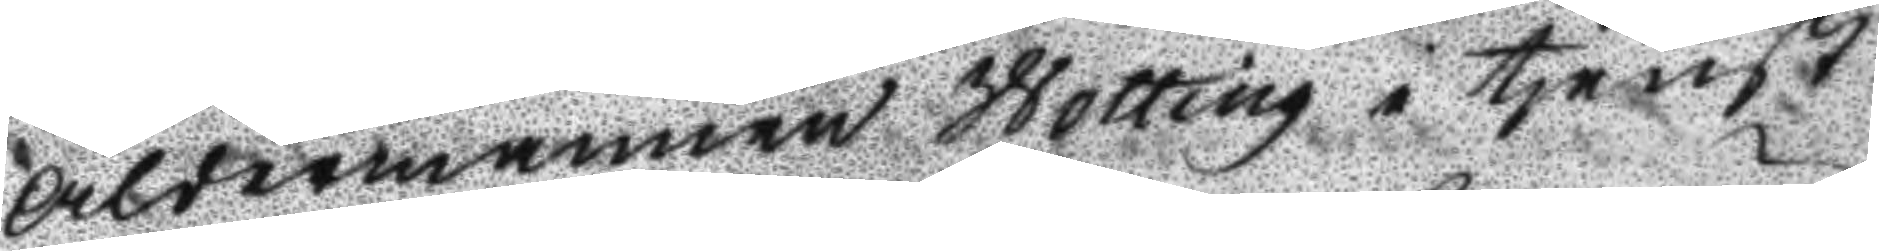Åldermannen Wotting i tjenst
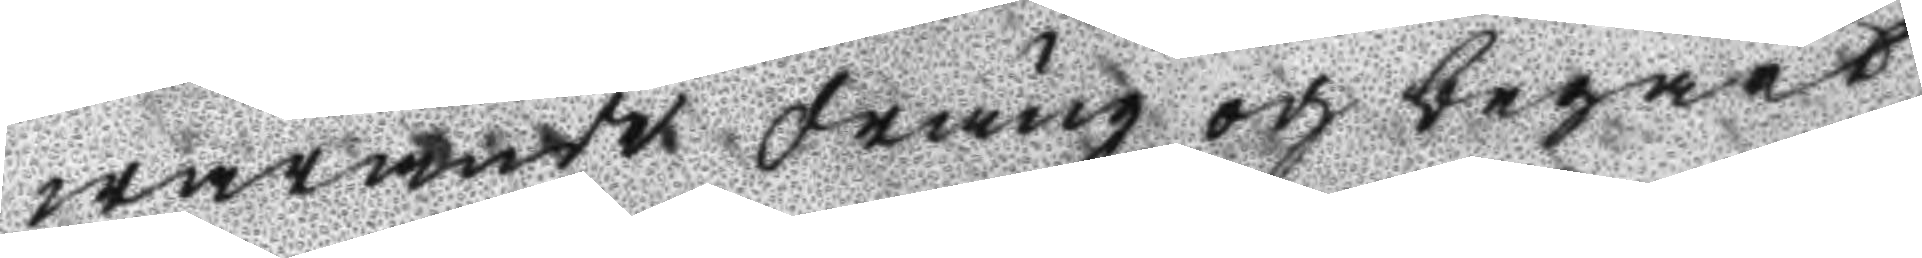warande dräng och begärt
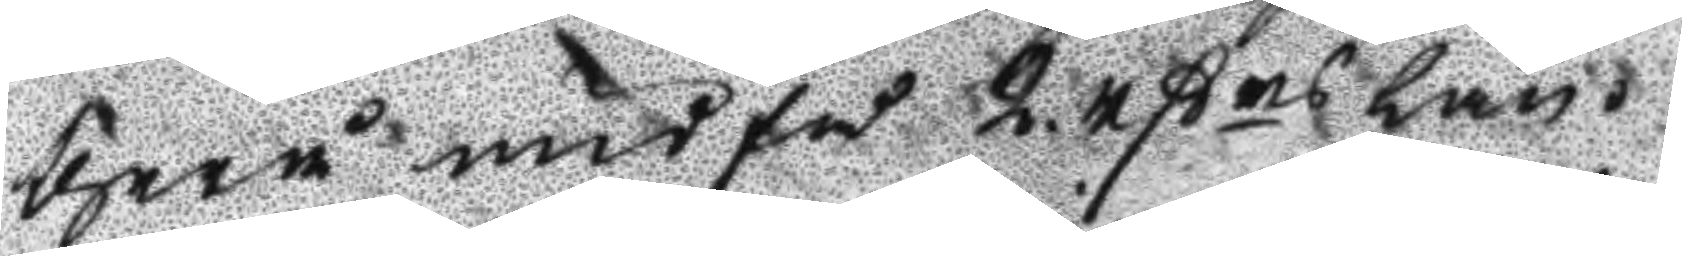therå undfå 2 rßrs lån.
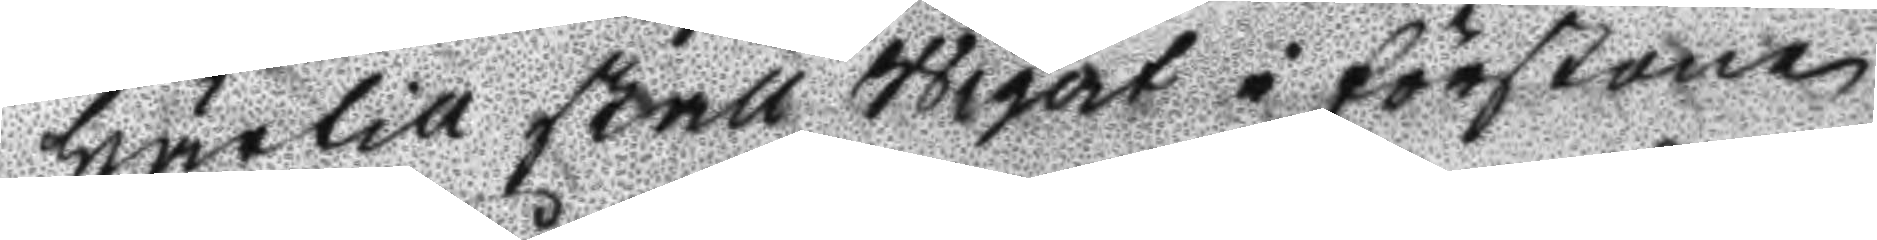Härtill skall Wigert i förstone
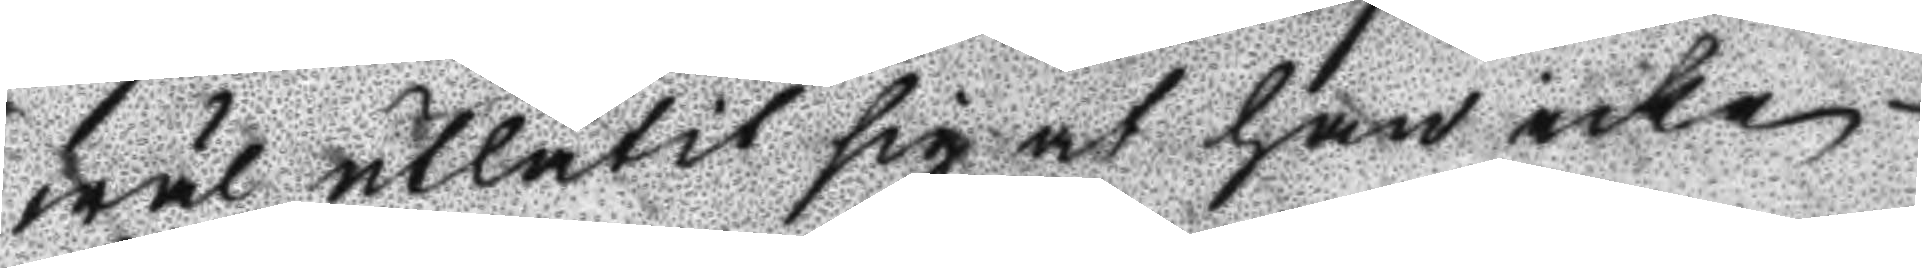wäl utlåtit sig at han icke
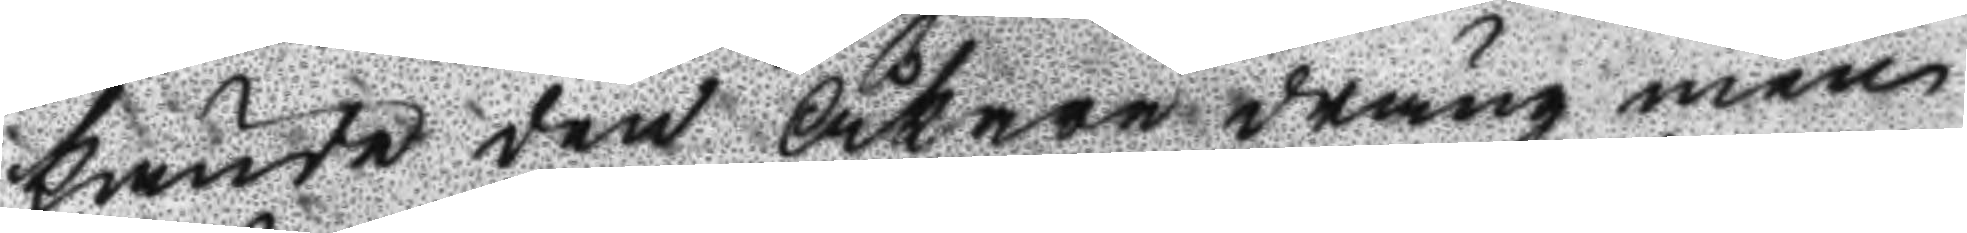kände den Åkare dräng men
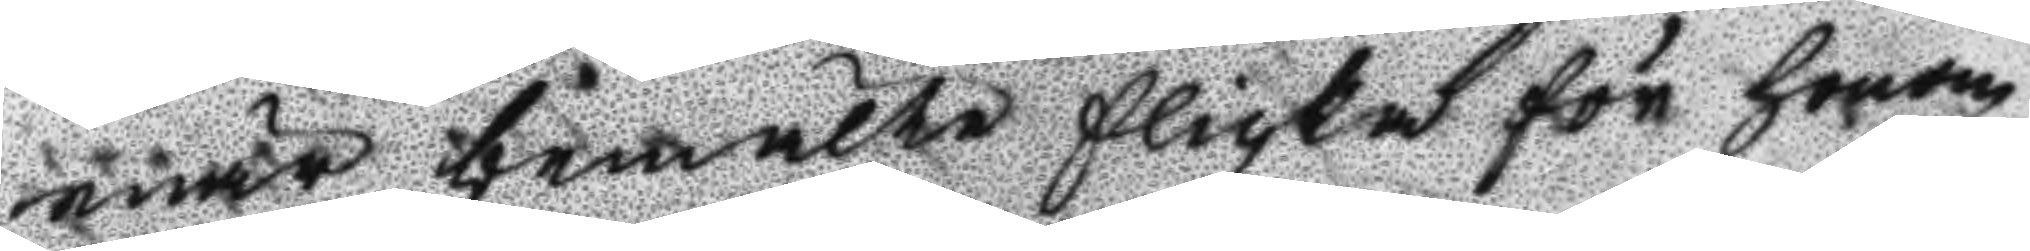enär bemälte flicka för honom
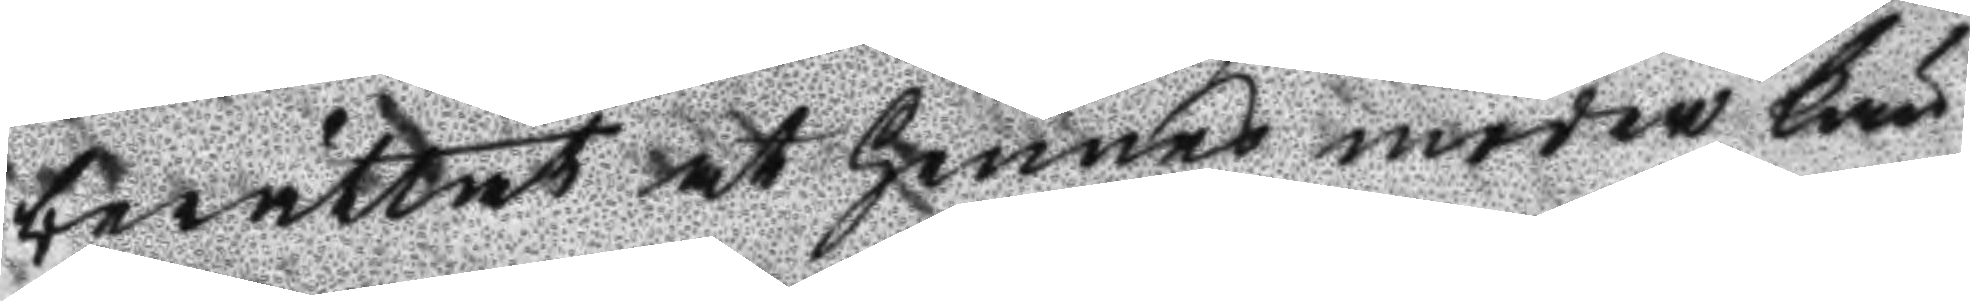berättat at hennes moder kän¬
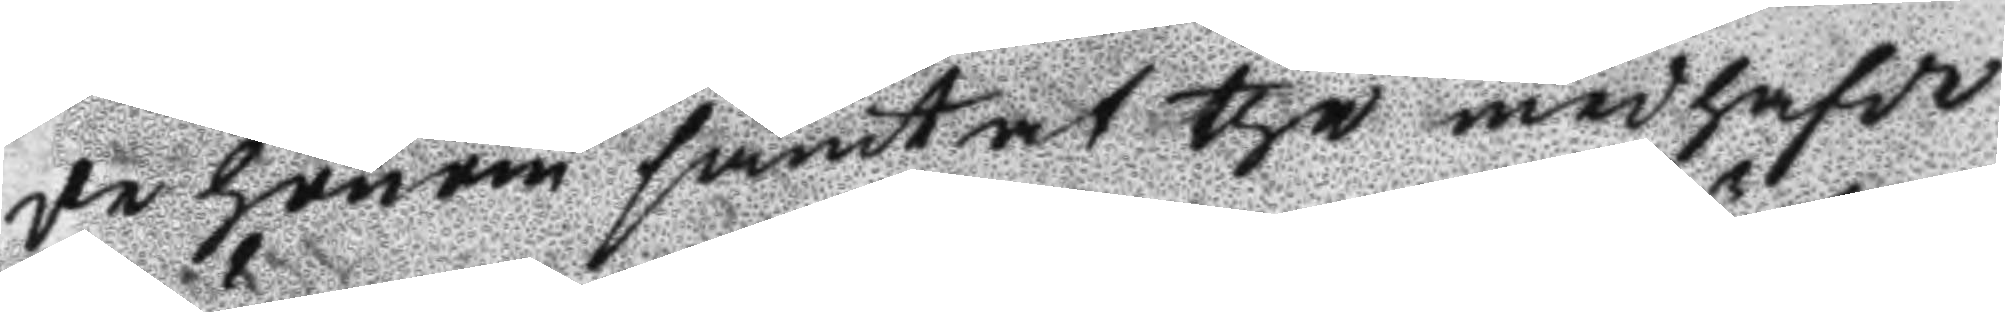de honom samt at the medhafde
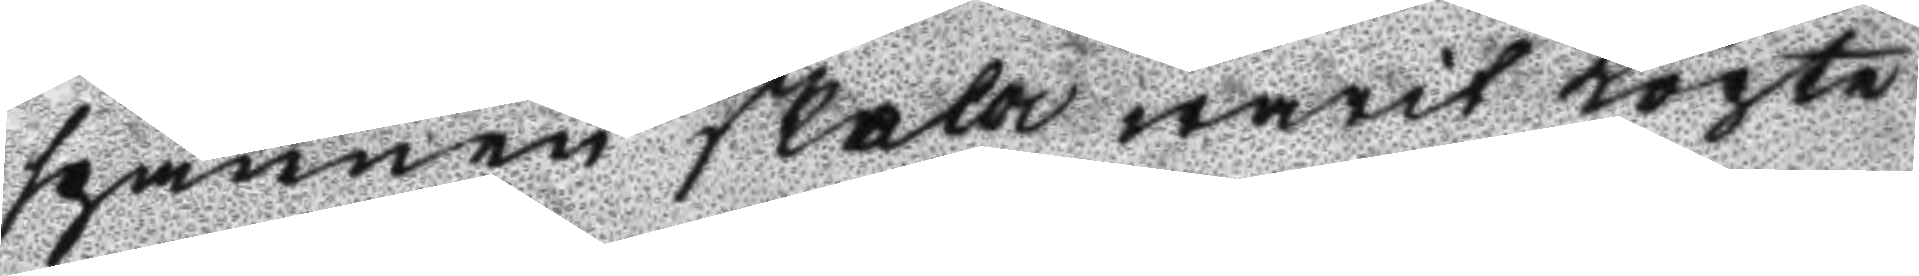spännen skola warit Köpta
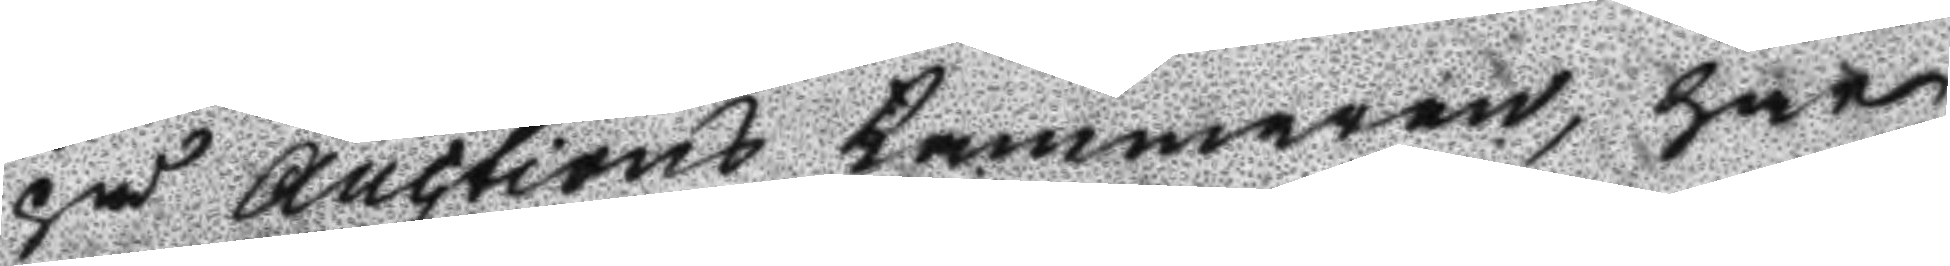på Auctions Kammaren, har
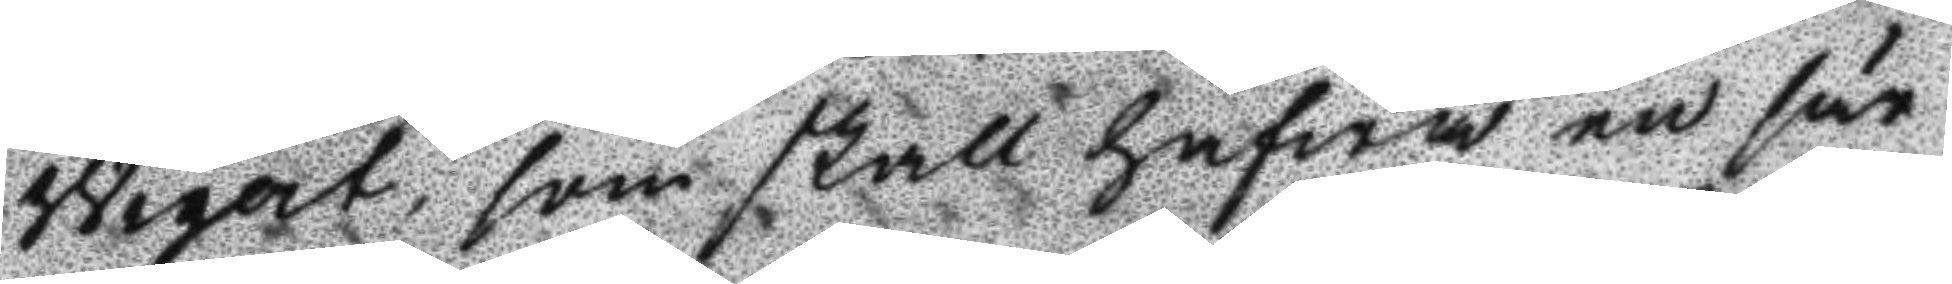Wigert, som skall hafwa en sär¬
